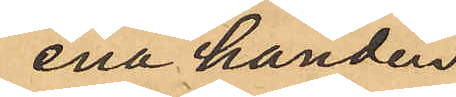ena handen
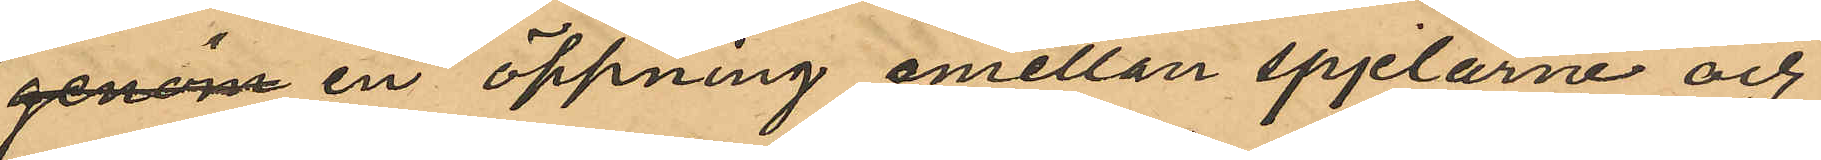genom en öppning emellan spjelorne och
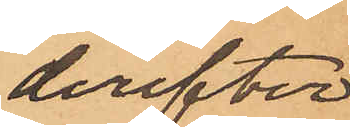derefter
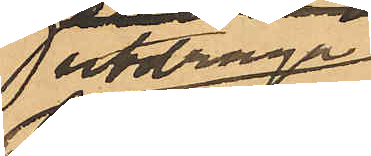utdraga
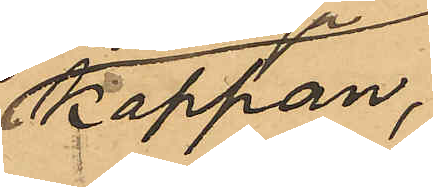kappan,
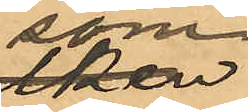som
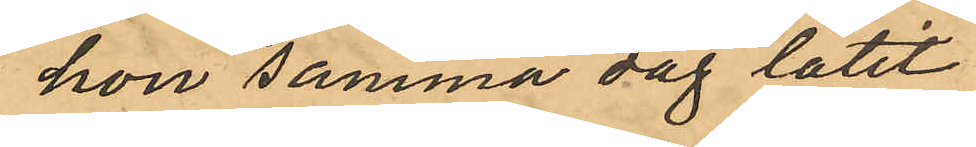hon samma dag låtit
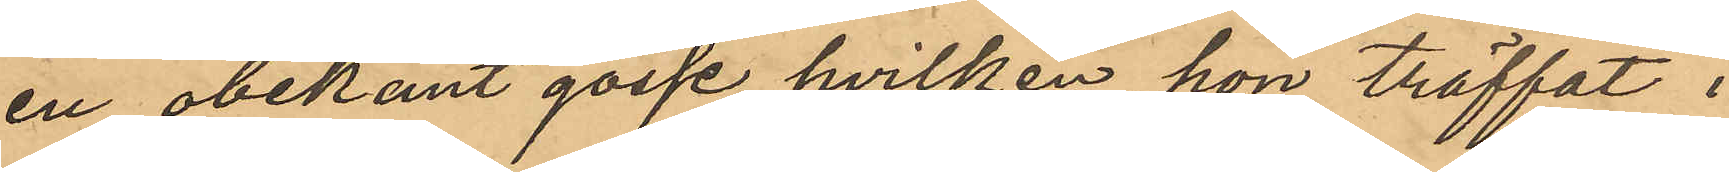en obekant gosse, hvilken hon träffat i
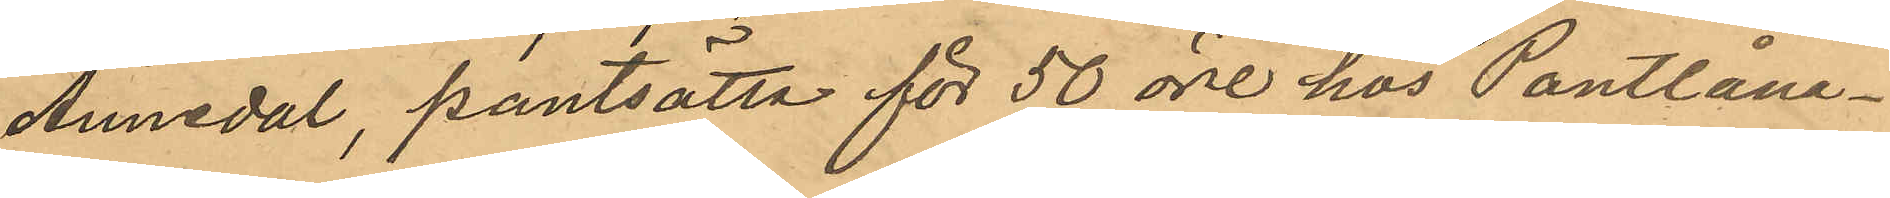Annedal, pantsätta för 50 öre hos Pantlåne¬
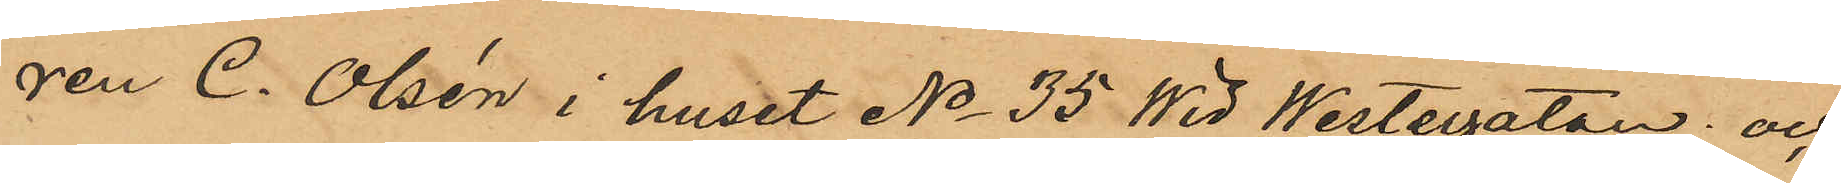ren C. Olsén i huset No 35 Wid Westergatan; och
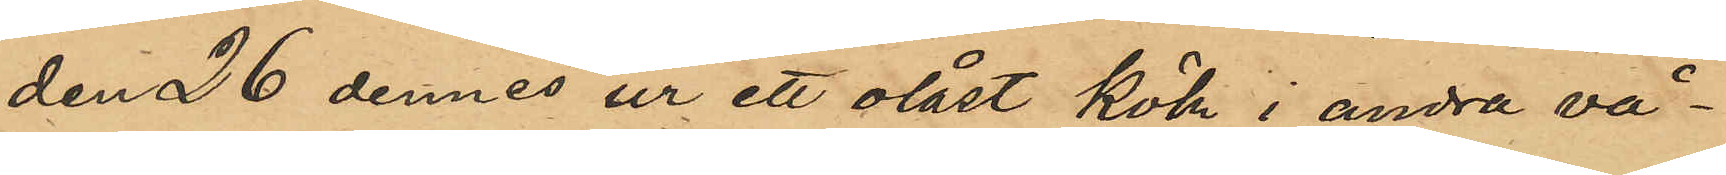den 26 dennes ur ett olåst kök i andra vå¬
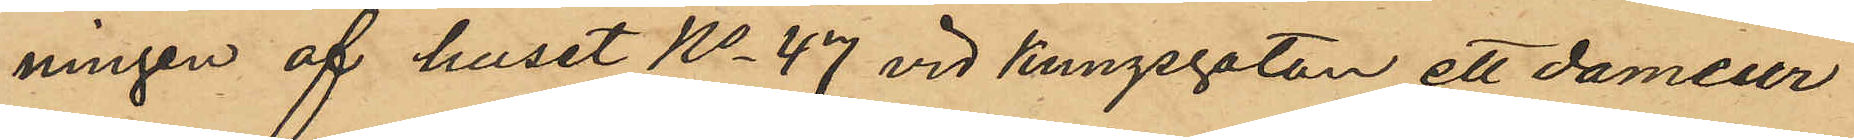ningen af huset No 47 vid Kungsgatan ett dameur
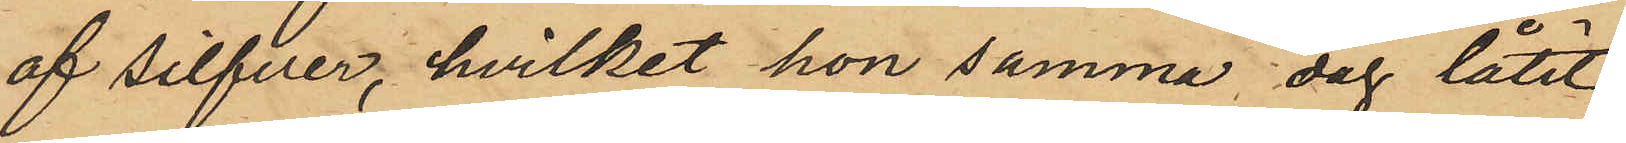af silfver, hvilket hon samma dag låtit
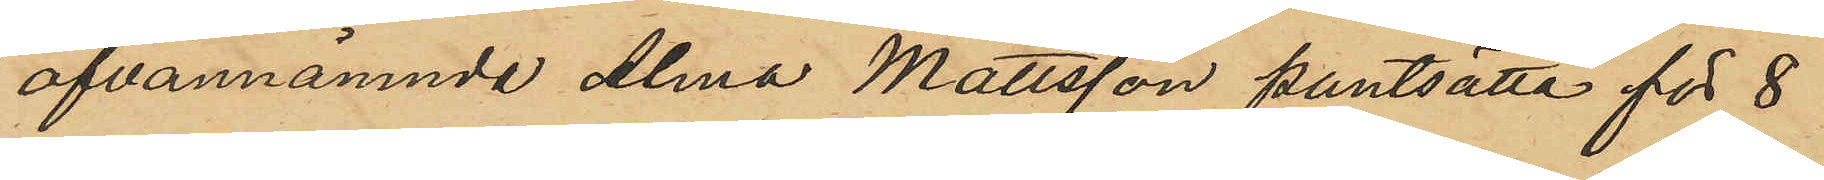ofvannämnda Alma Mattsson pantsätta för 8
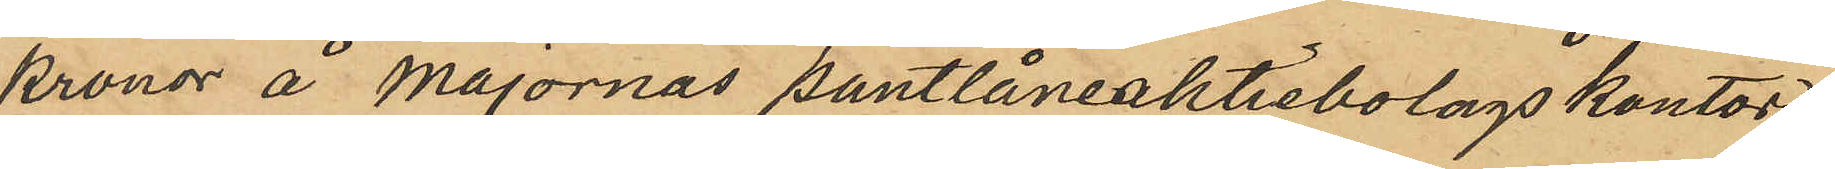kronor å Majornas pantlåneaktiebolags kontor
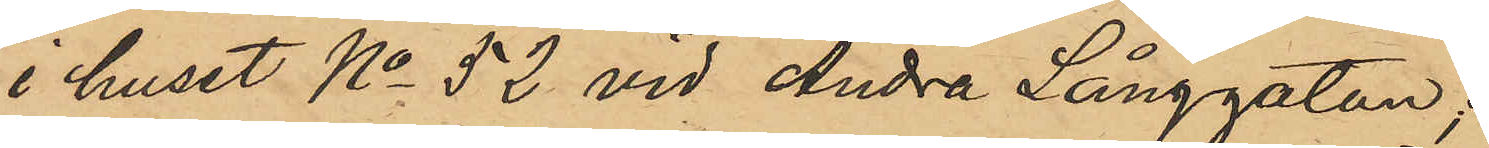i huset No 52 vid Andra Långgatan;
